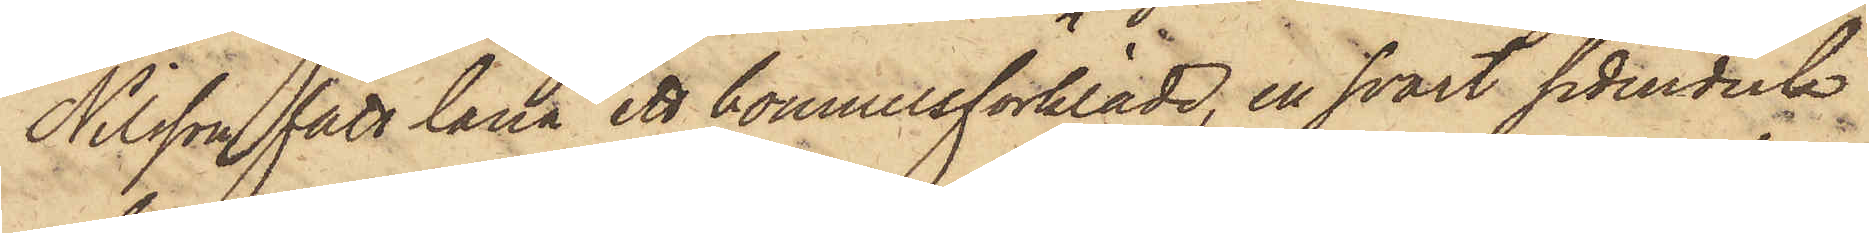Nilsson fått låna ett bomullsförkläde, en svart sidenduk
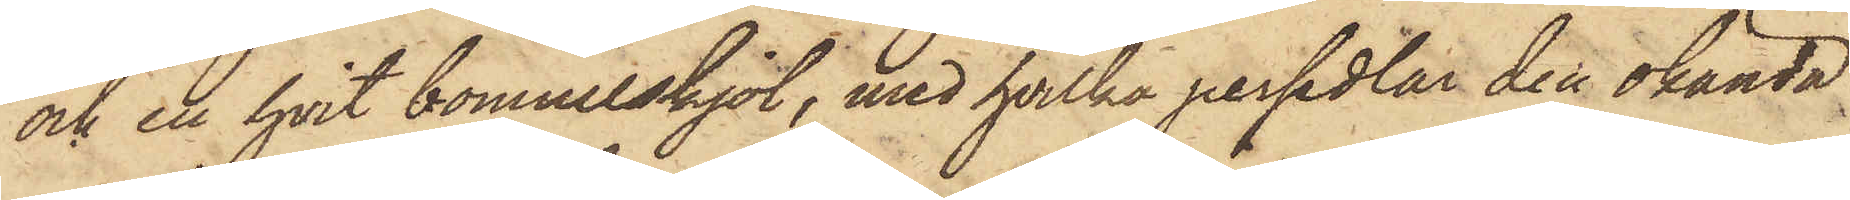och en hvit bomullskjol, med hvilka persedlar den okända
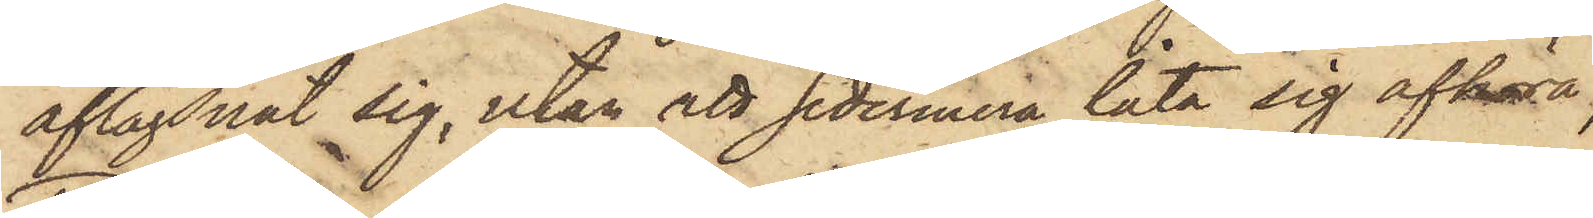aflägsnat sig, utan att sedermera låta sig afhöra,
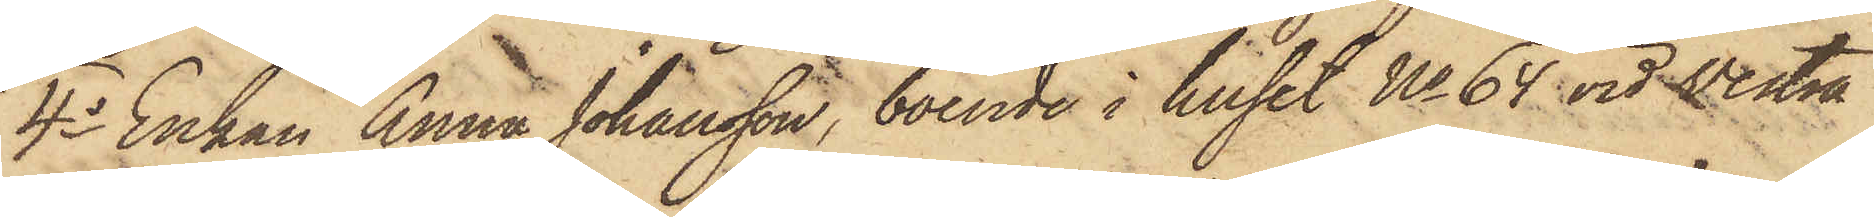4o Enkan Anna Johansson, boende i huset No 64 vid Vestra
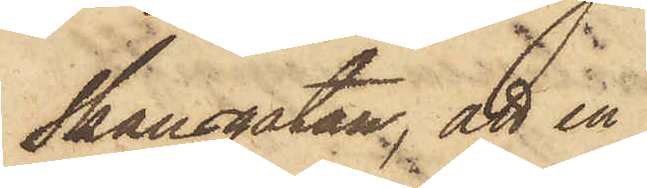Skansgatan, att en
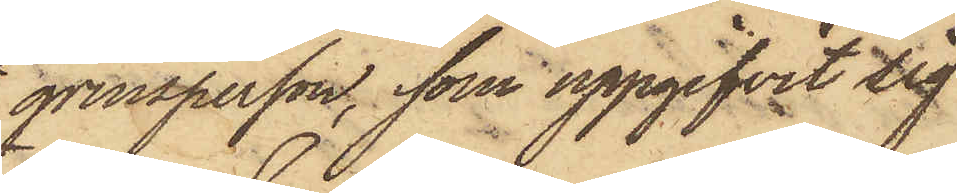qvinsperson, som uppgifvit sig
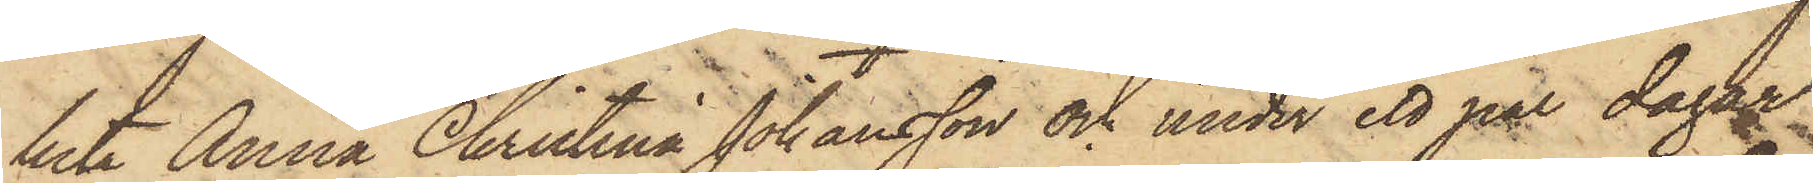heta Anna Christina Johansson och under ett par dagan
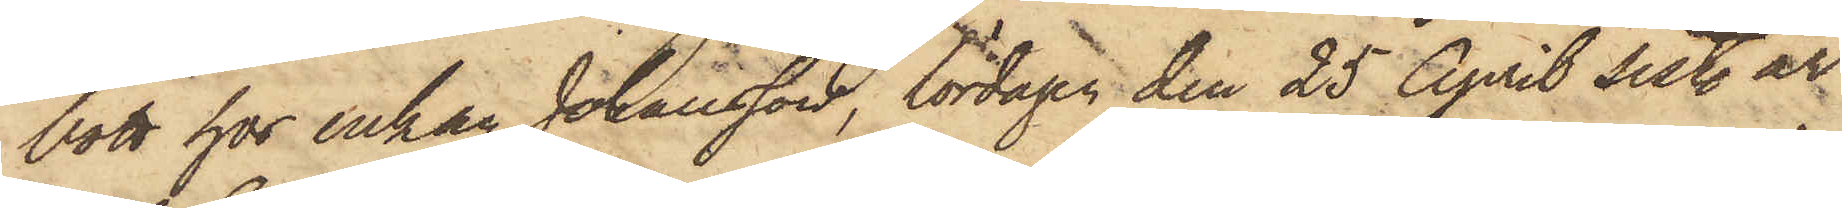bott hos Enkan Johansson, lördagen den 25 April sist. år
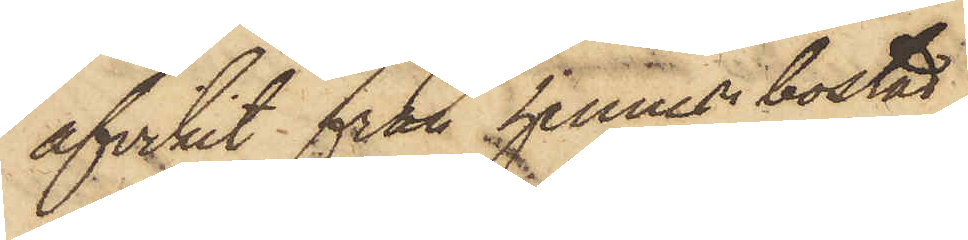afvikit från hennes bostad
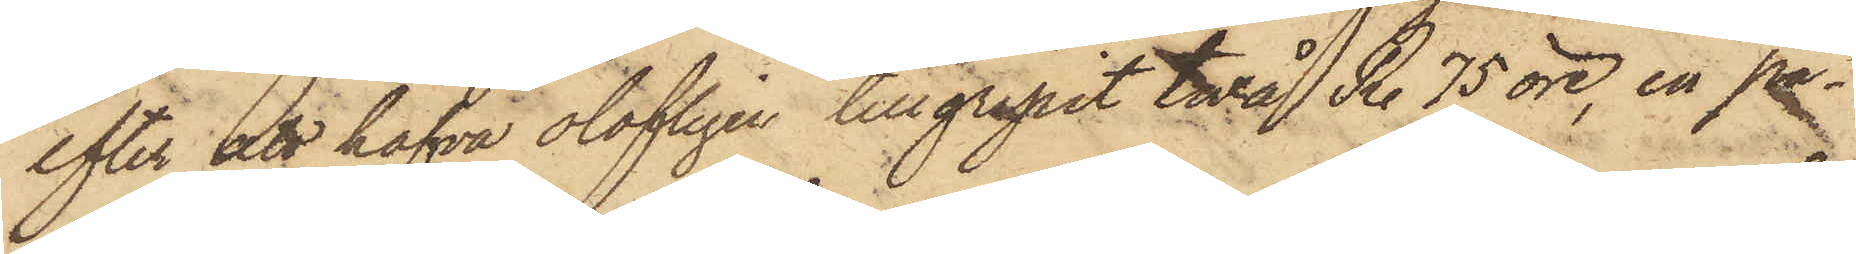efter att hafva olofligen tillgripit två R. 75 öre, en pa¬
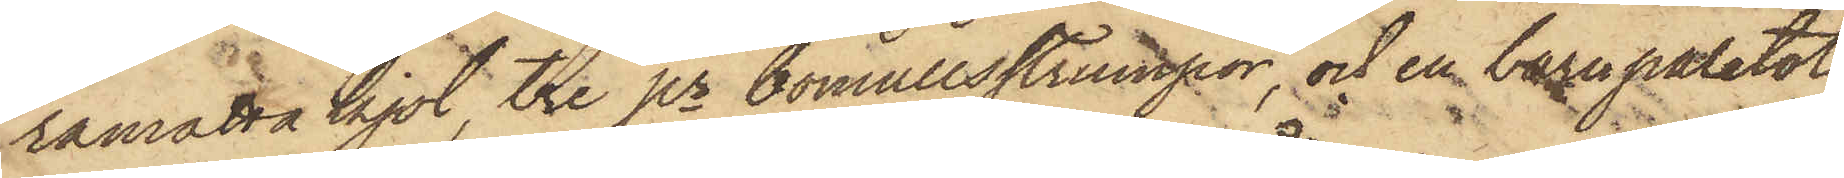ramatta kjol, tre pr bomullsstrumpor, och en barnpaletot,
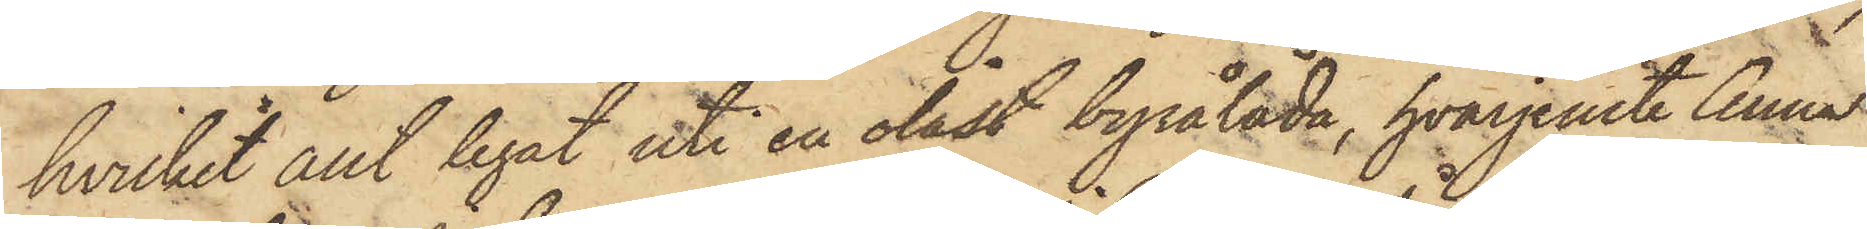hvilket allt legat uti en olåst byrålåda, hvarjemte Anna
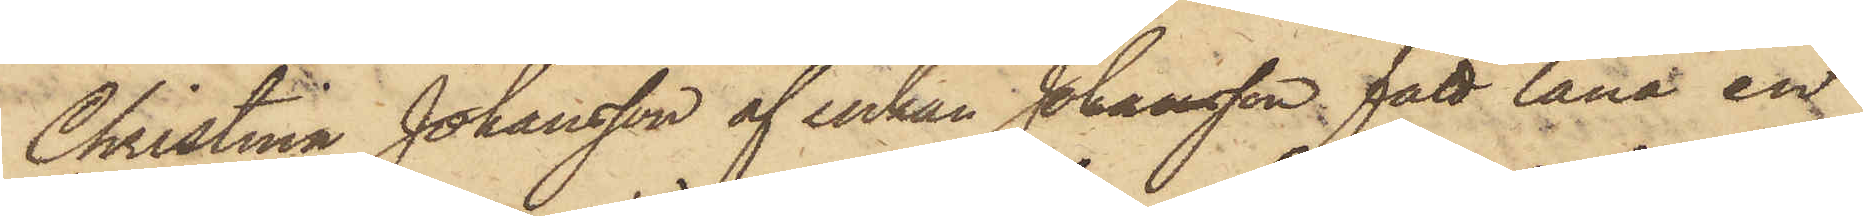Christina Johansson af Enkan Johansson fått låna en
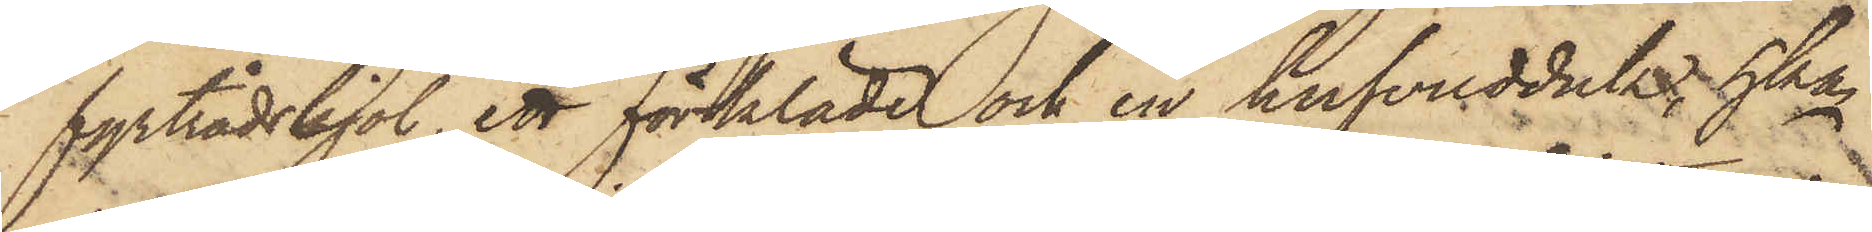fyrtrådskjol, ett förkläde och en hufvudduk, hka
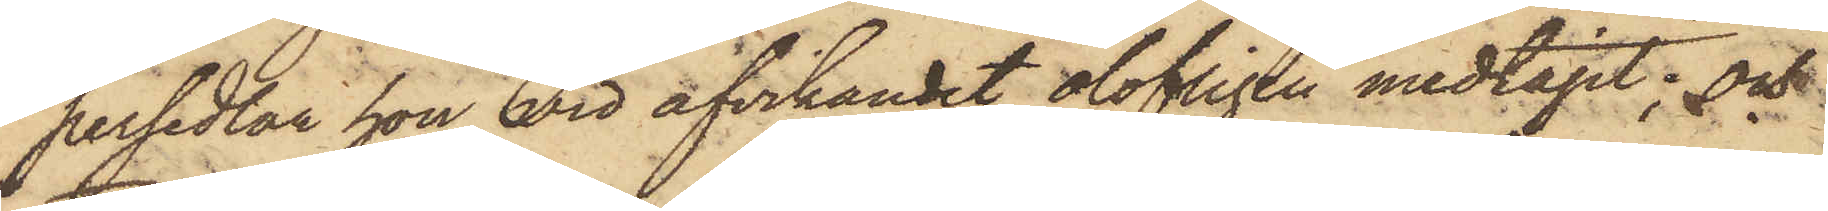persedlar hon vid afvikandet olofligen medtagit; och
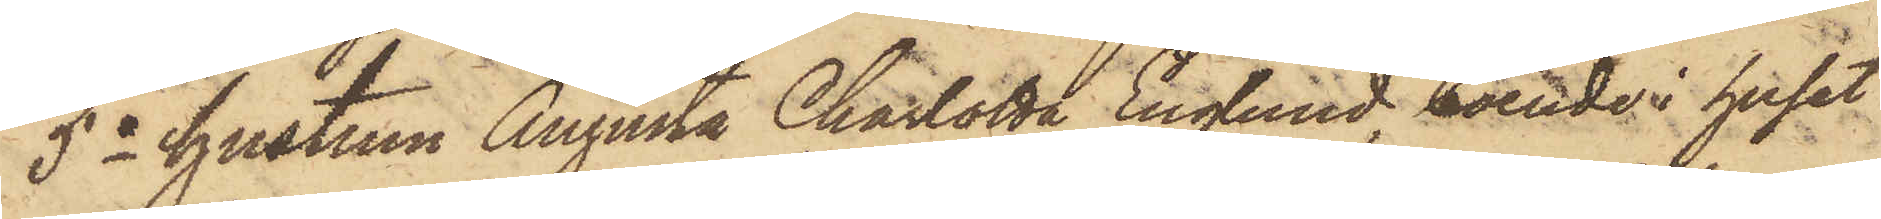5o hustrun Augusta Charlotta Englund, boende i huset
